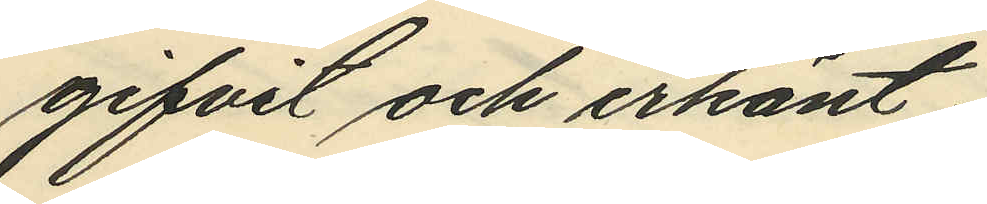gifvit och erkänt;
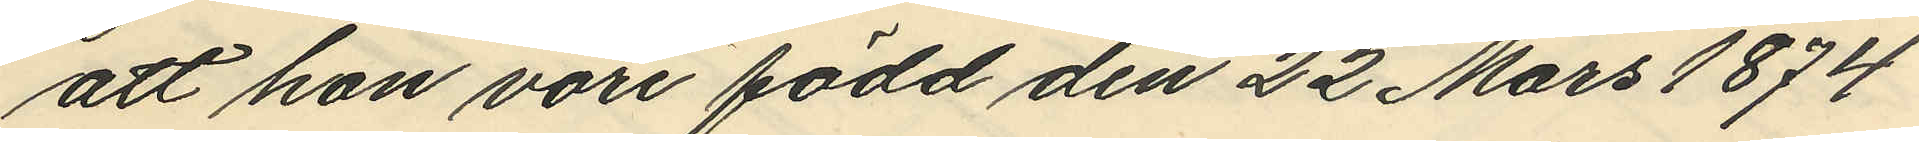att hon vore född den 22 Mars 1874
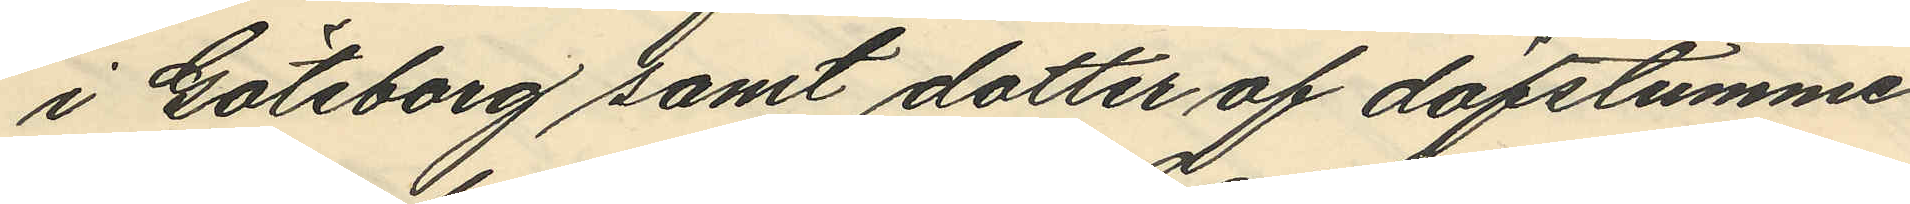i Göteborg samt dotter af döfstumme
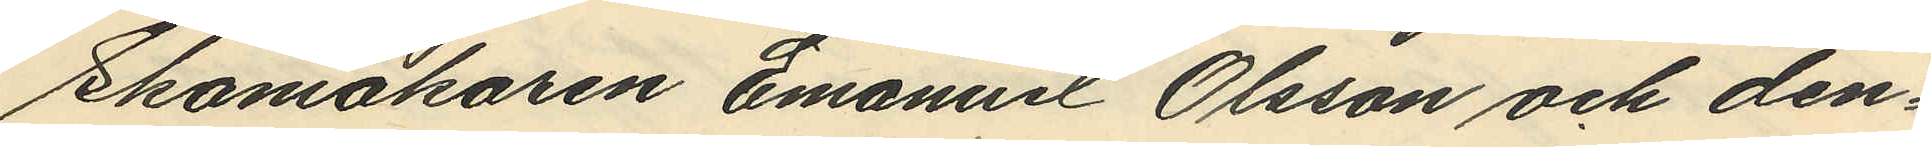Skomakaren Emanuel Olsson och den¬
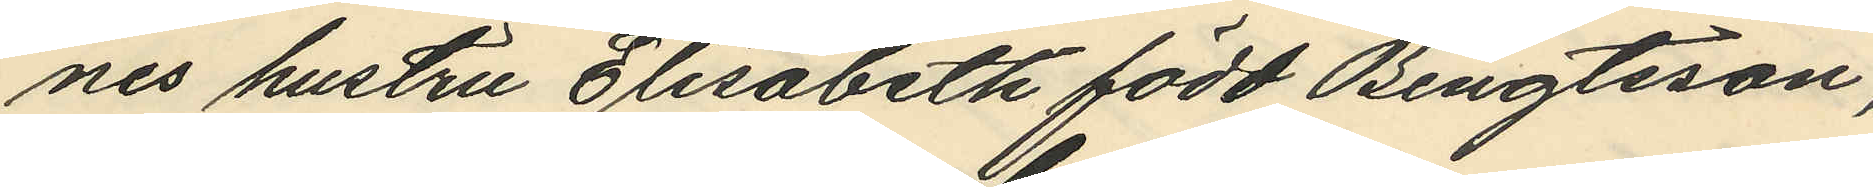nes hustru Elisabeth född Bengtsson,
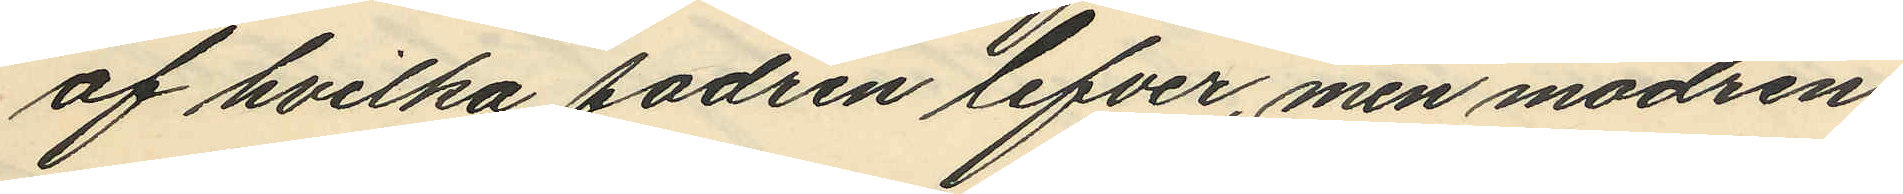af hvilka fadren lefver, men modren
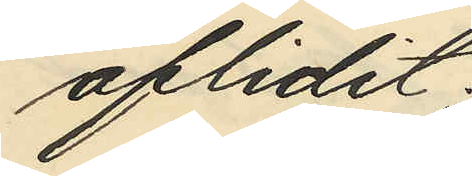aflidit;
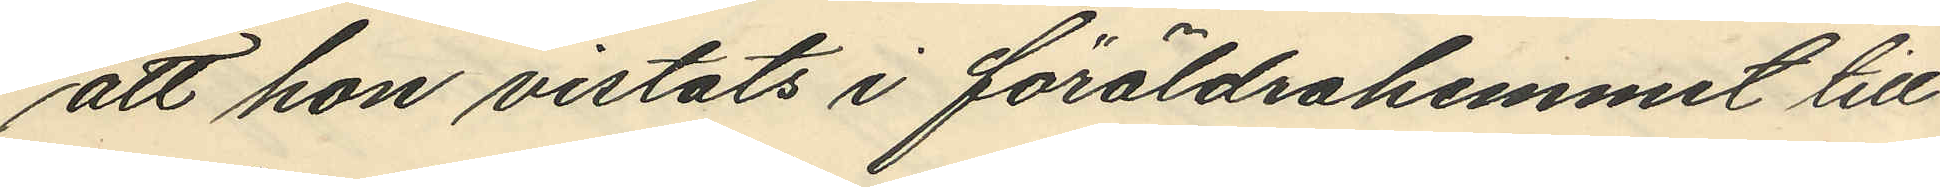att hon vistats i föräldrahemmet till
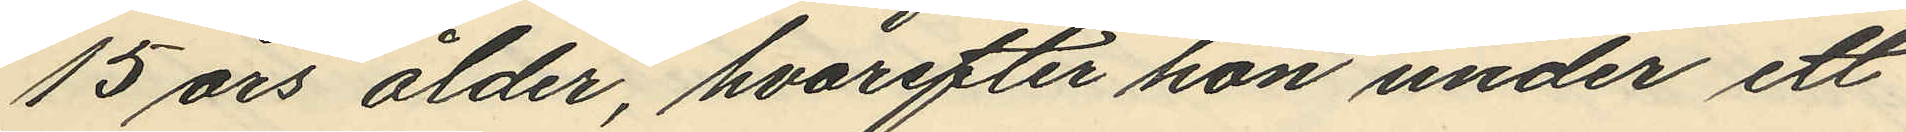15 års ålder, hvarefter hon under ett
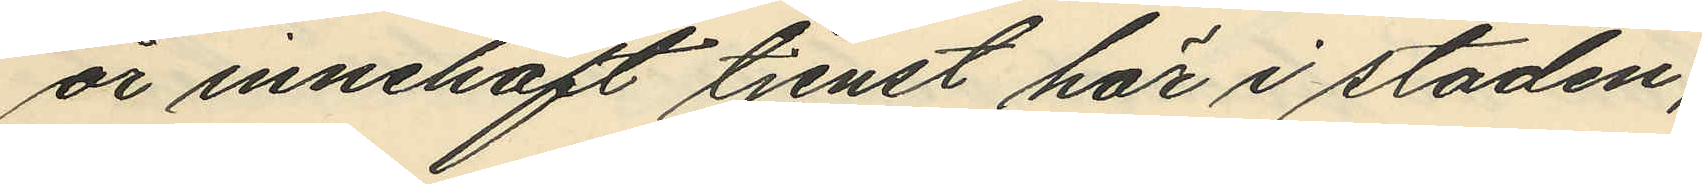år innehaft tjenst här i staden;
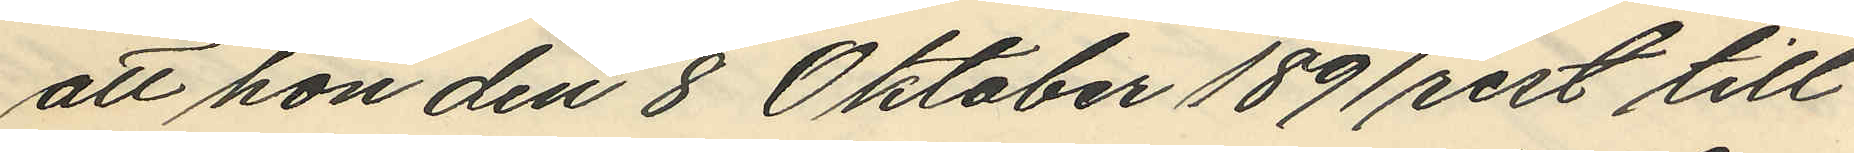att hon den 8 Oktober 1891 rest till
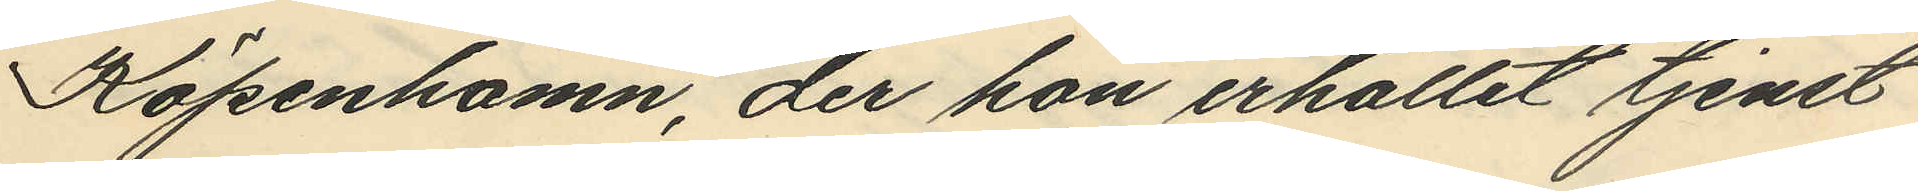Köpenhamn, der hon erhållit tjenst
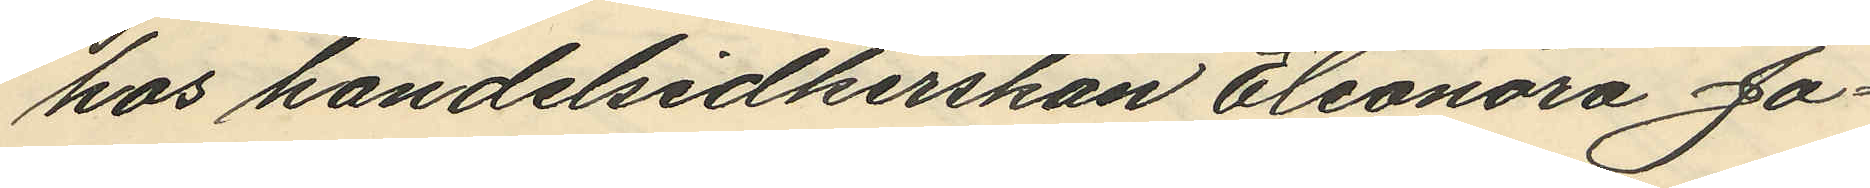hos handelsidkerskan Eleonora Ja¬
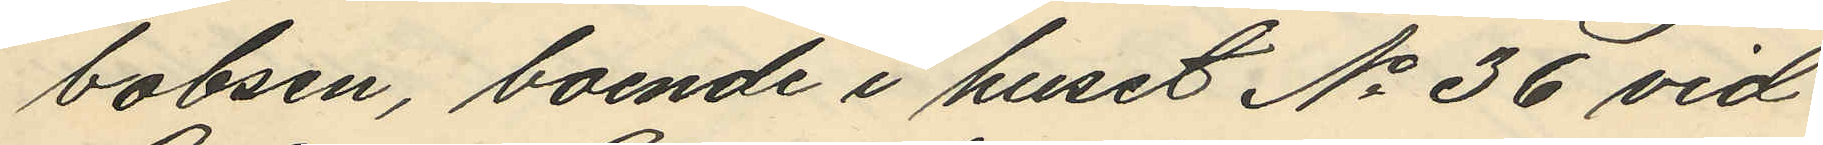bobsen, boende i huset No 36 vid
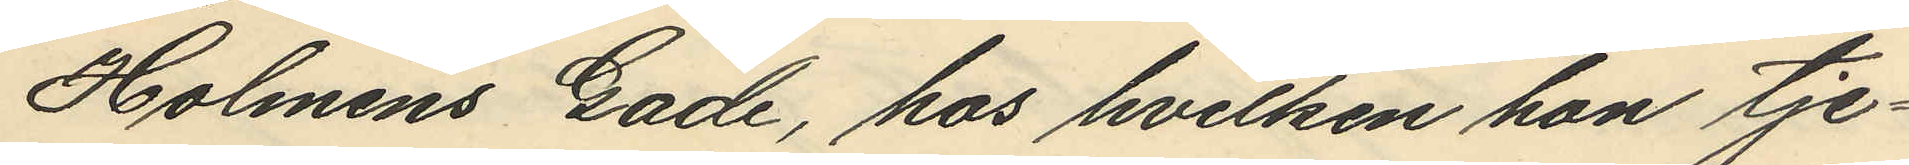Holmens Gade, hos hvilken hon tje¬
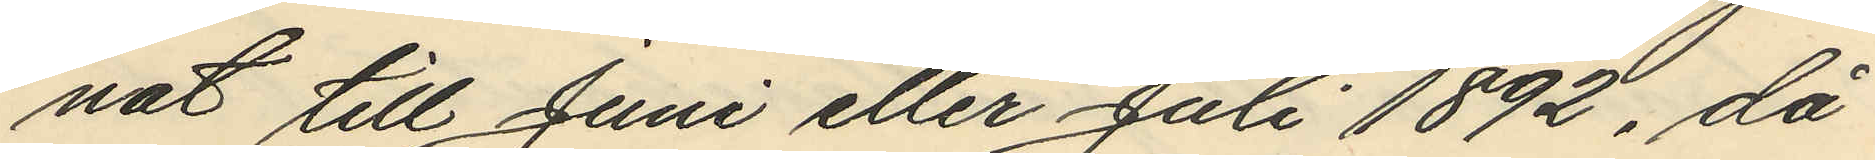nat till Juni eller Juli 1892, då
